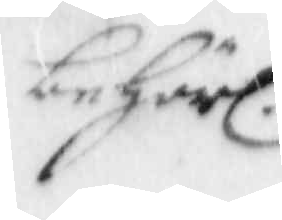behörl.
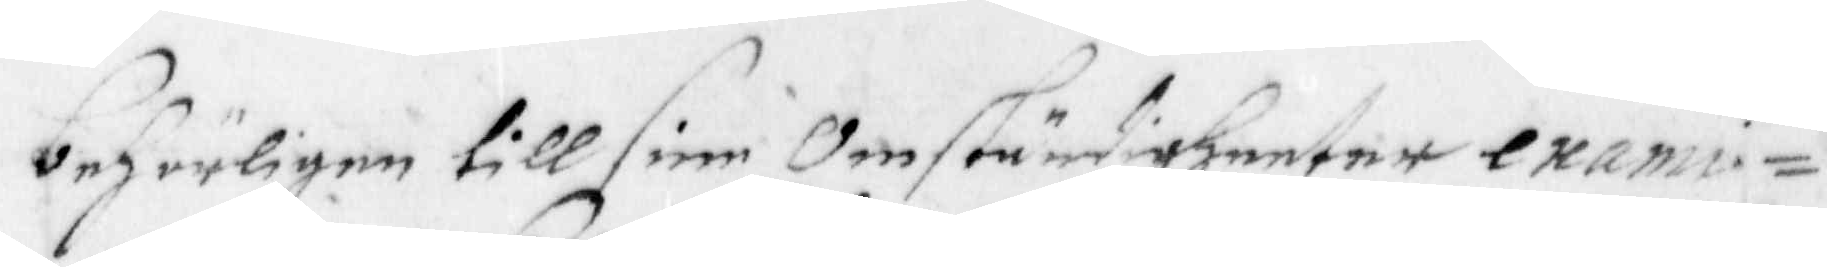behörligen till sine Omständigheeter exami¬
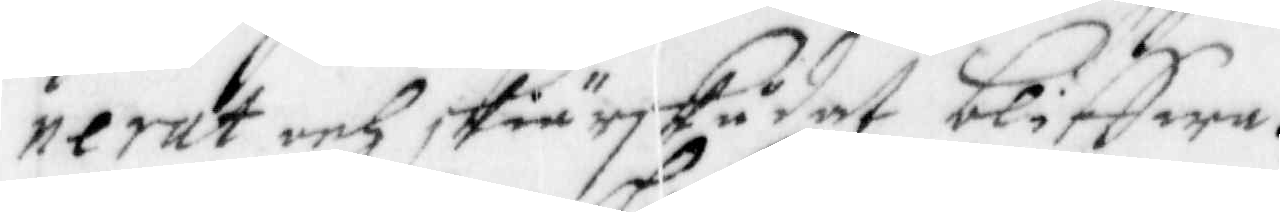nerat och skiärskådat bliffwa.
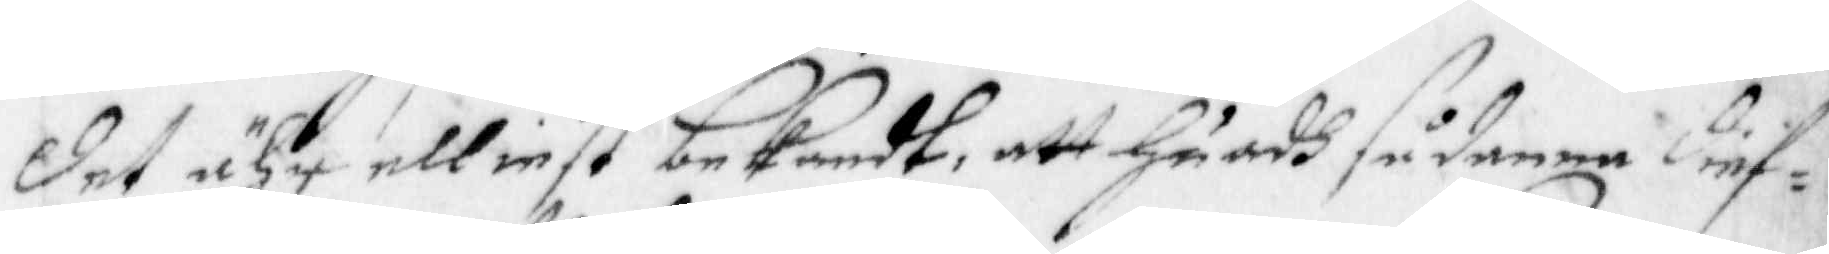Det ähr elliest bekandt, att Huadh sådanna dief¬
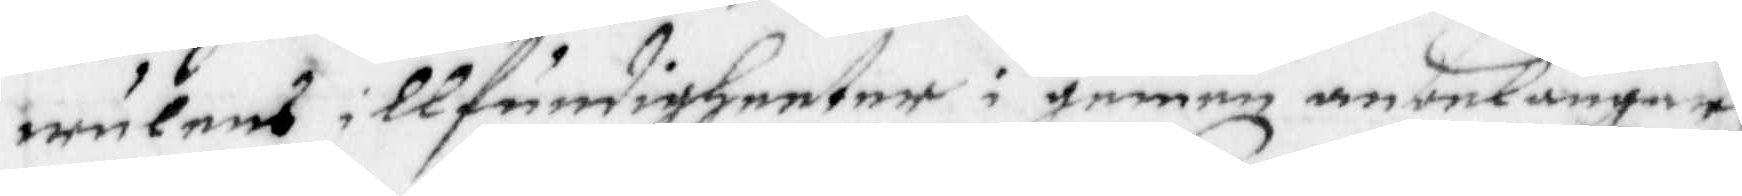wulens illfundigheeter i gemen anbelangar
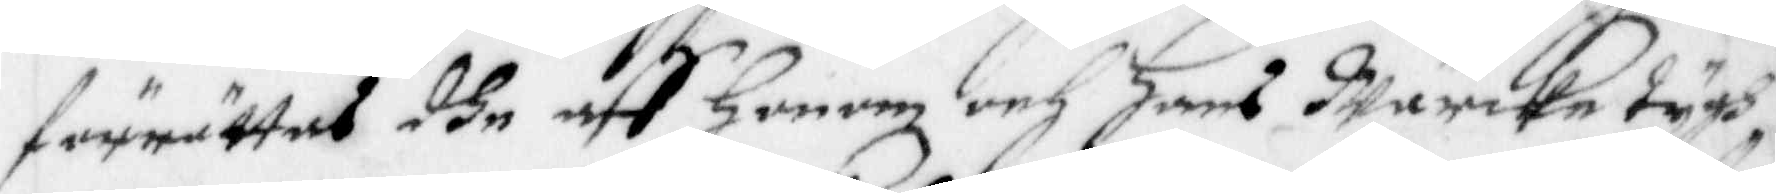förrättas dhe aff Honom och Hans Wärcke tygh
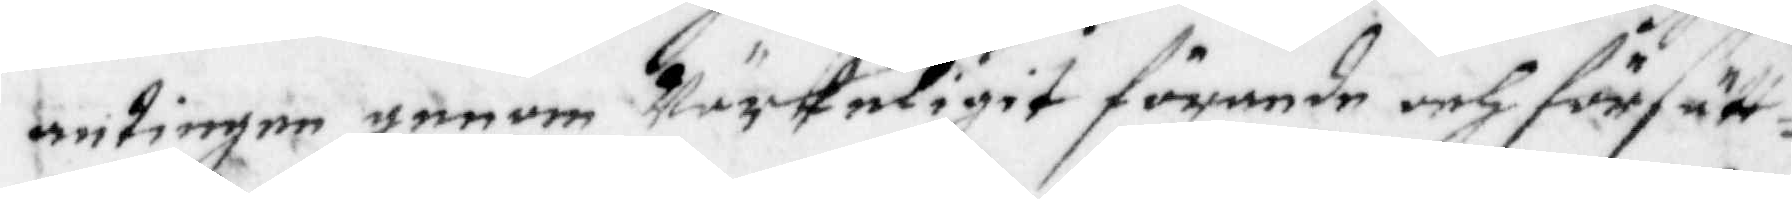antingen genom Wärkeligit förande och försätt¬
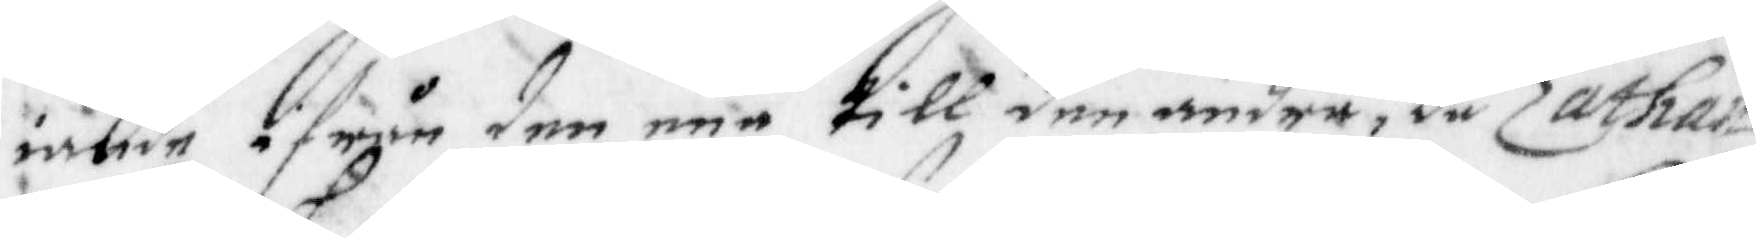iande i från den enn till den andra, då Zathan
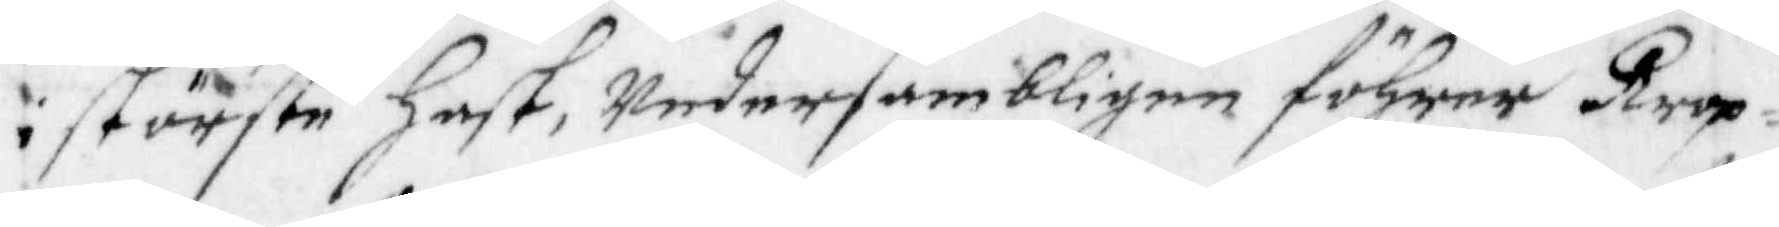i störste Hast, Undersambligen föhrer Krop¬
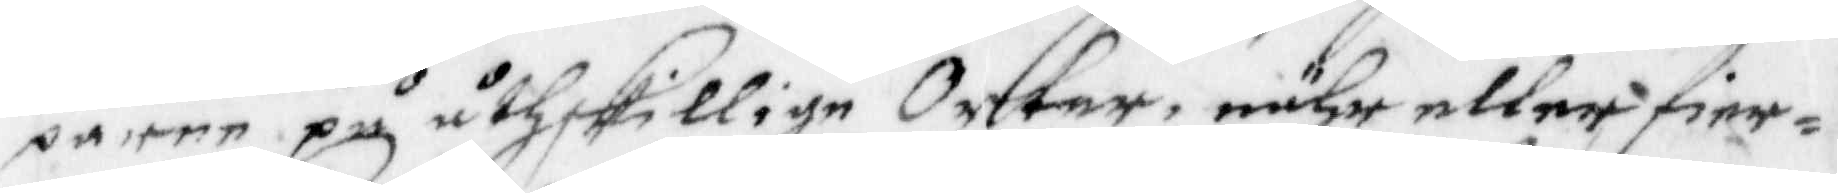parne på åthskillige Orter, nähr eller fier¬
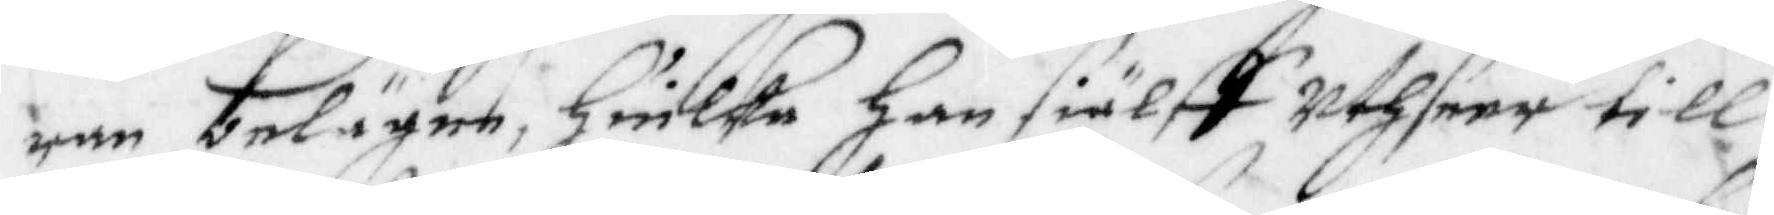ran belägne, Hwilka Han siälff Uthseer till
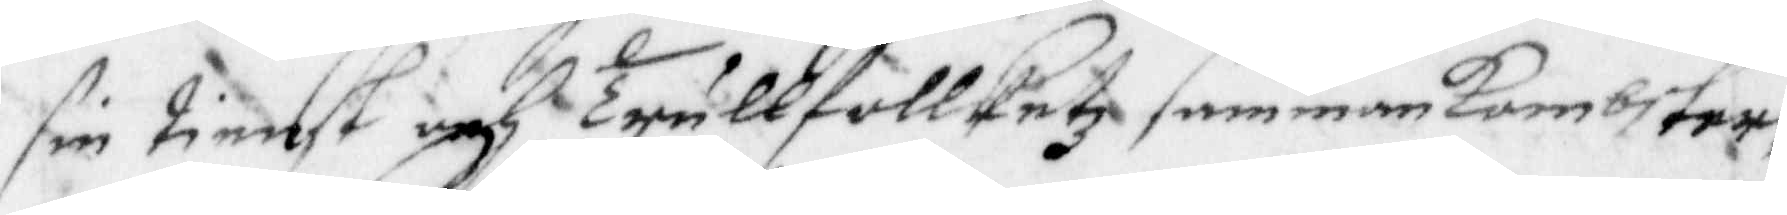sin tienst och Trullfollketz sammankombster,
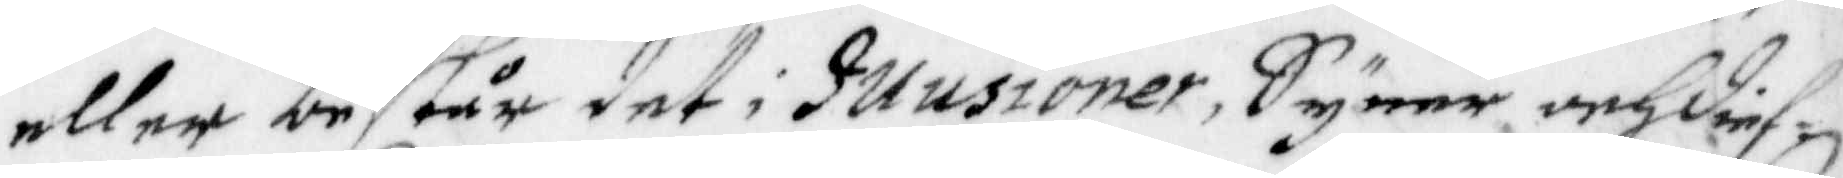eller består det i Illusioner, Syner och dief¬
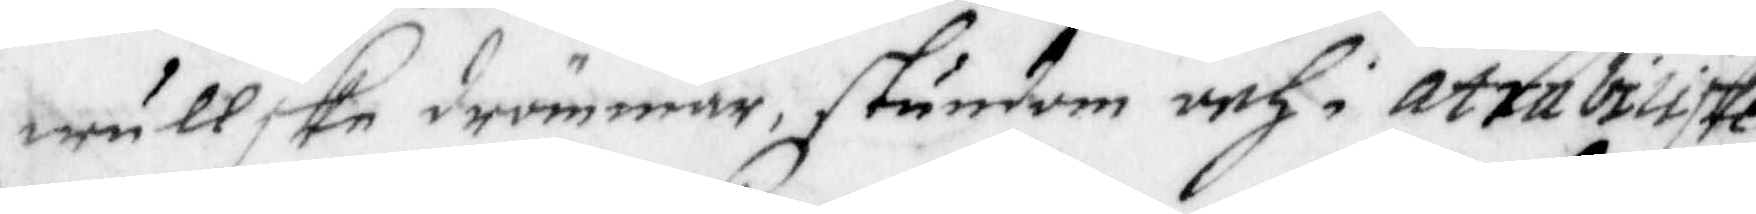wullske drömmar, stundom och i atrabiliske
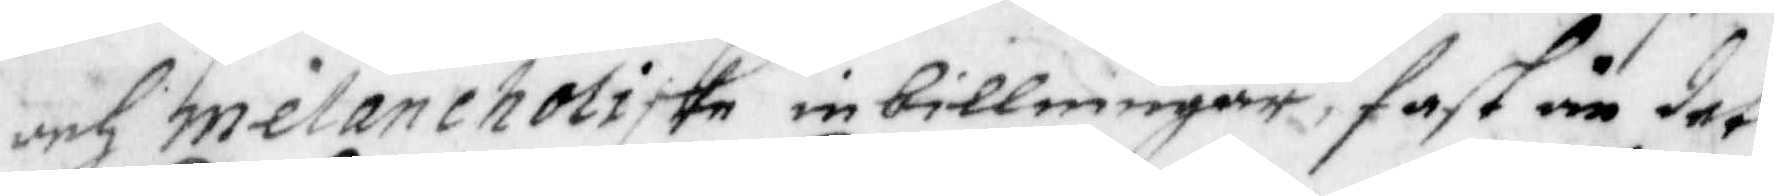och melancholiske inbillningar, fast än det
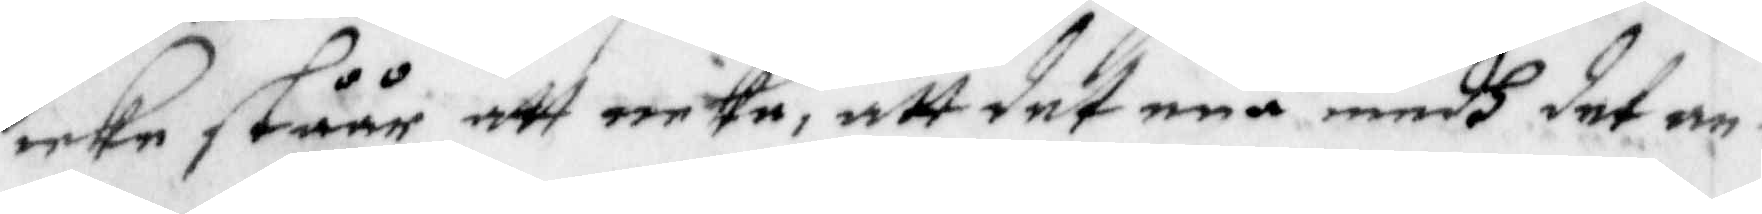icke ståår att neka, att det ena medh det an¬
